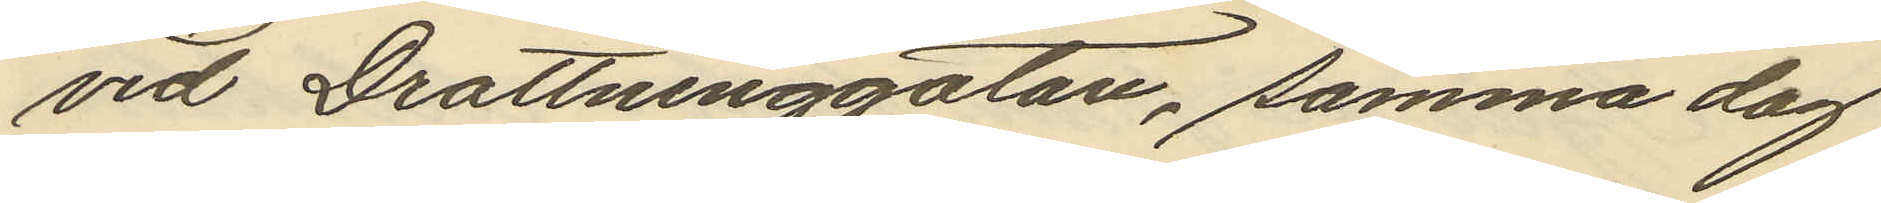vid Drottninggatan, samma dag
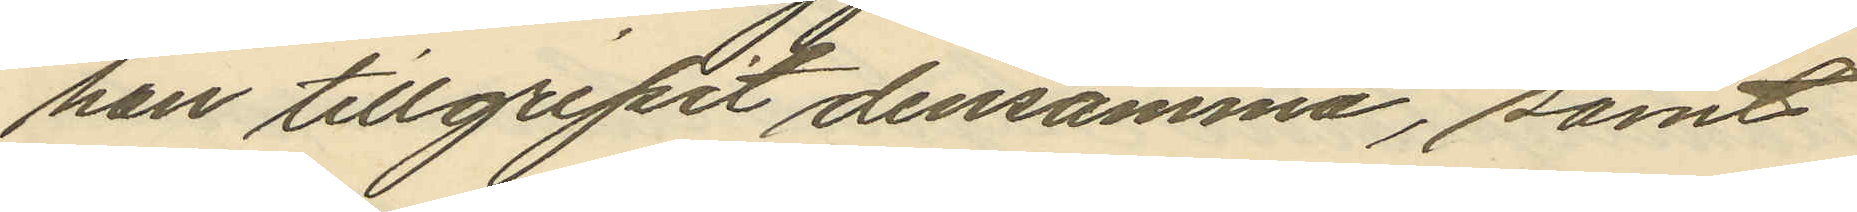han tillgripit densamma, samt
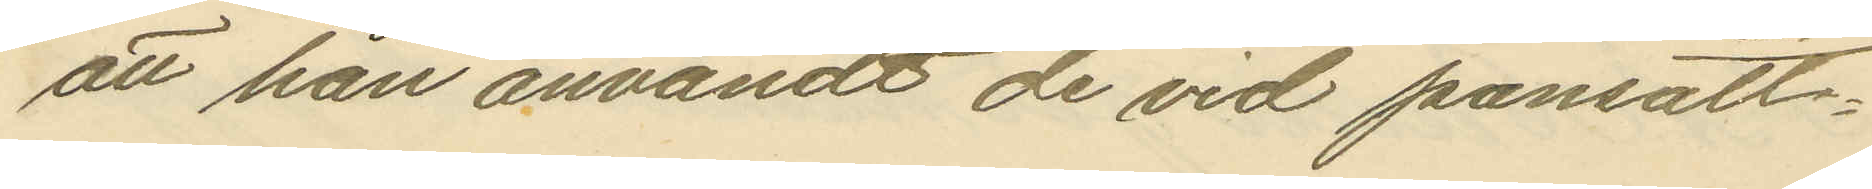att han användt de vid pansätt¬
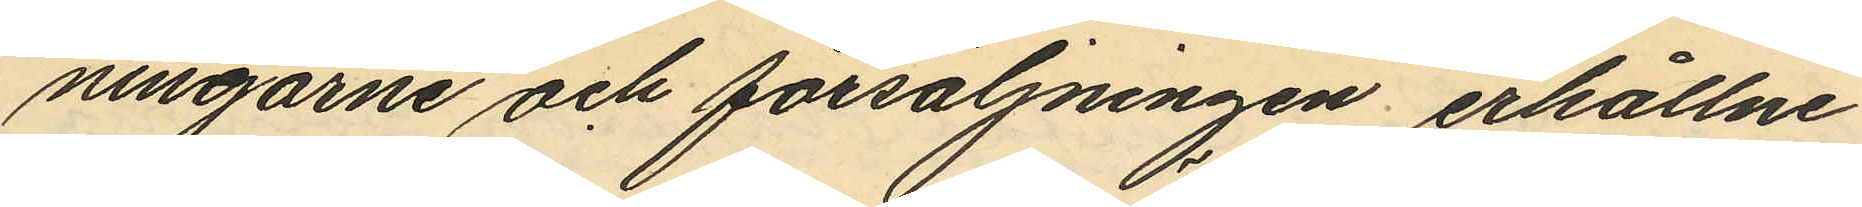ningarne och försäljningen erhållne
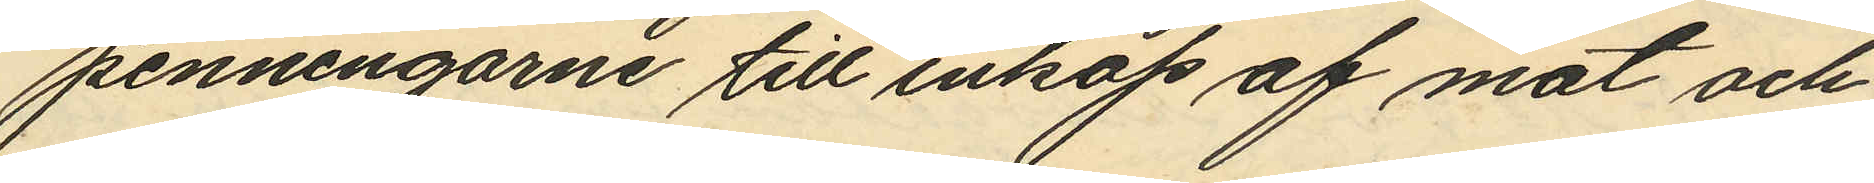penningarne till inköp af mat och
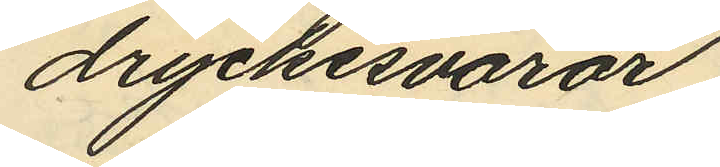dryckesvaror.
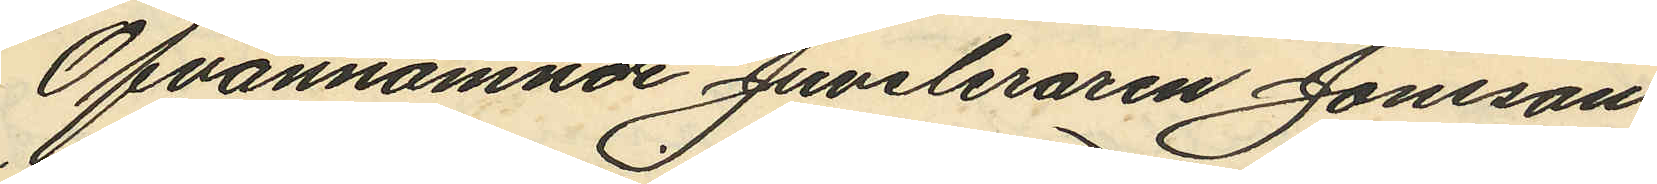Ofvannämnde Juveleraren Jonsson
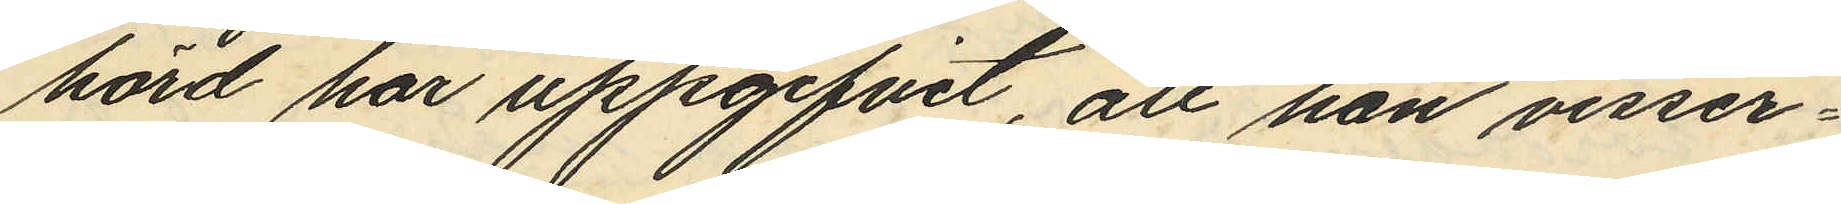hörd har uppgifvit, att han visser¬
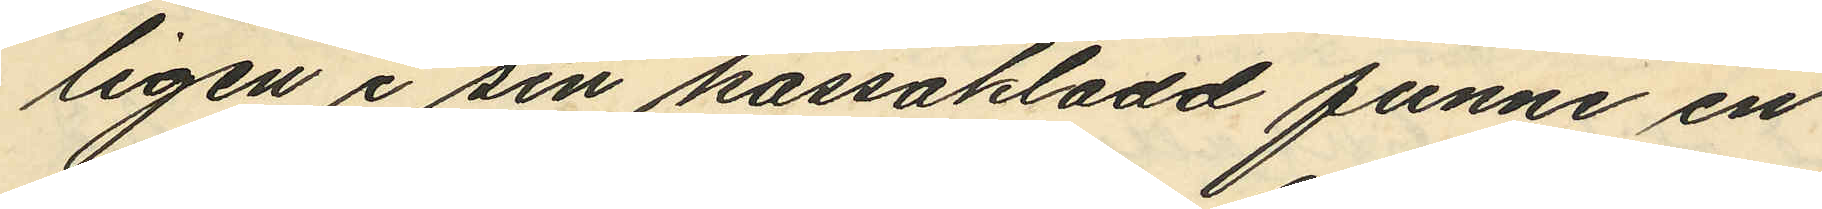ligen i sin kassakladd funne en
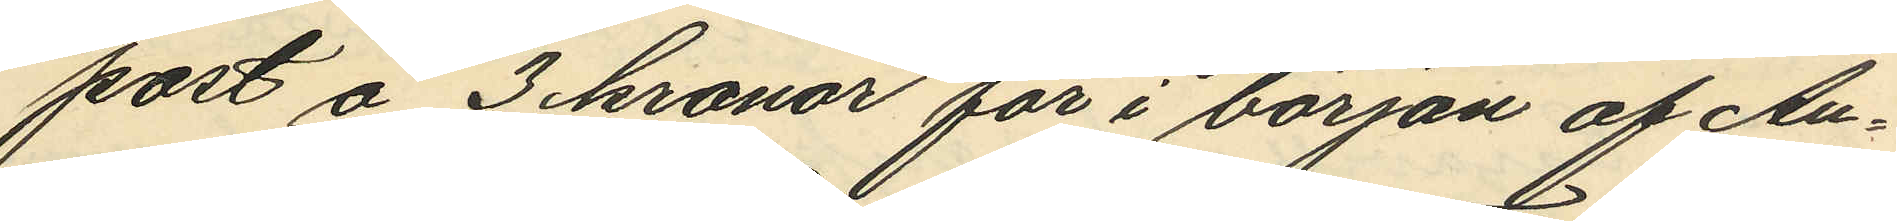post å 3 kronor för i början af Au¬
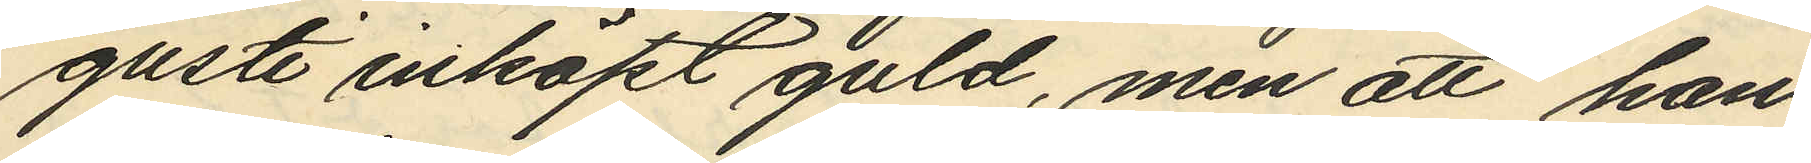gusti inköpt guld, men att han
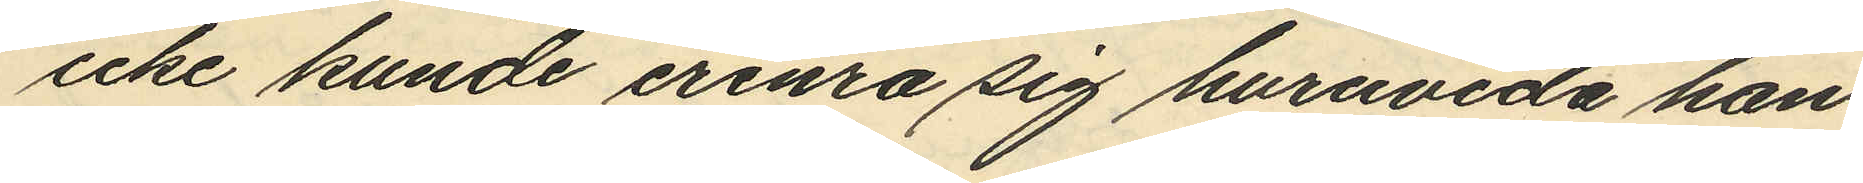icke kunde erinra sig huruvida han
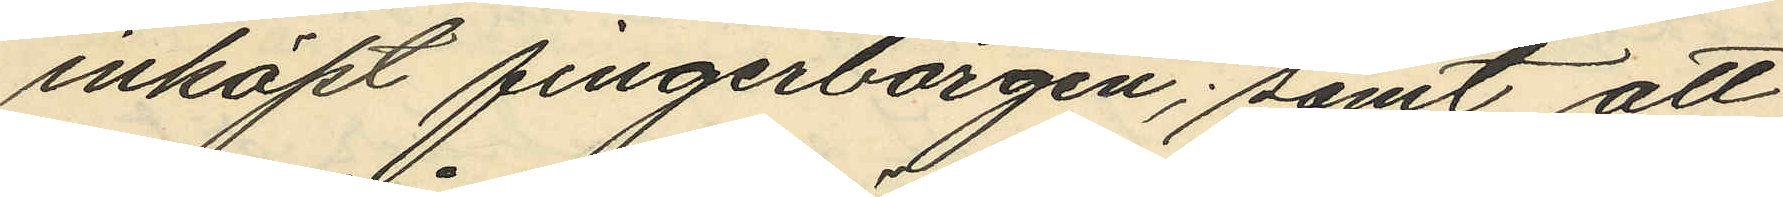inköpt fingerborgen; samt att
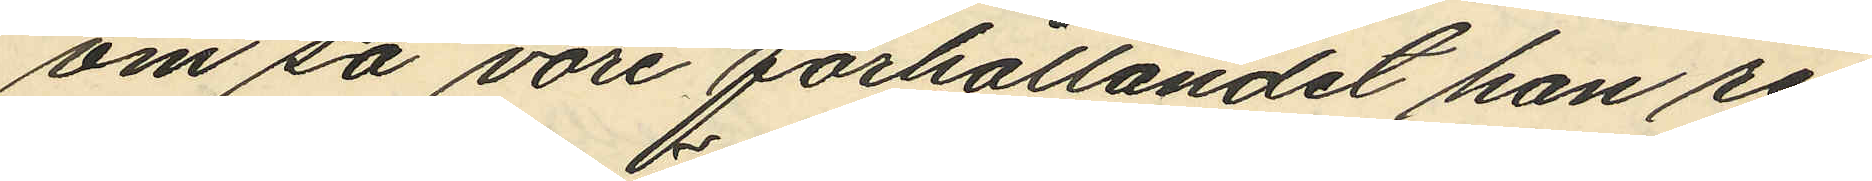om så vore förhållandet han re¬
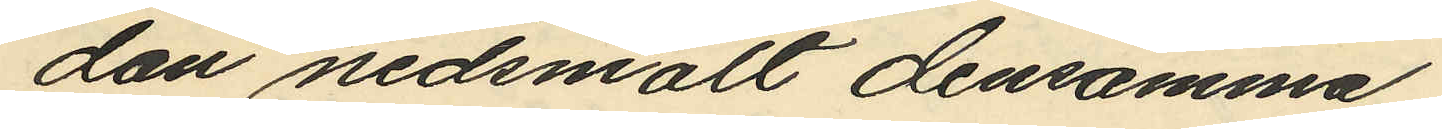dan nedsmält densamma.
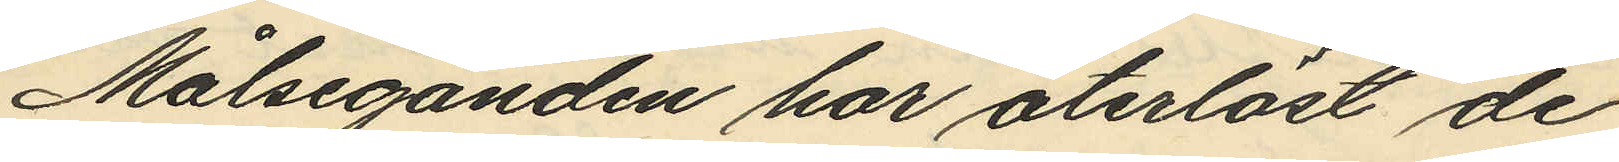Målseganden har återlöst de
